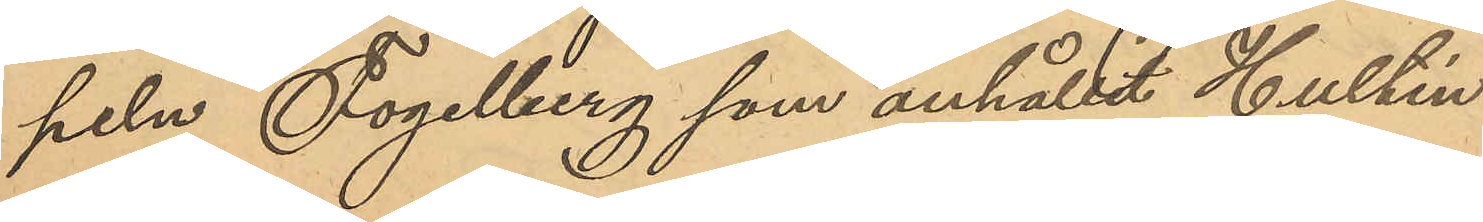peln Fogelberg som anhållit Hultén.
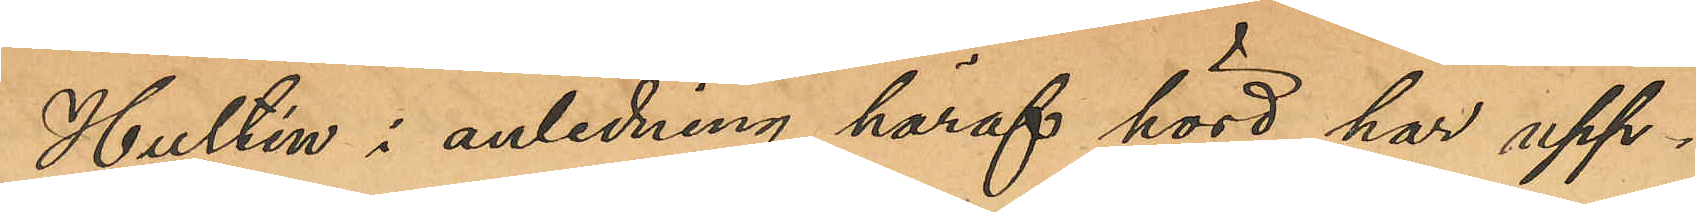Hultén: i anledning häraf hörd har upp¬
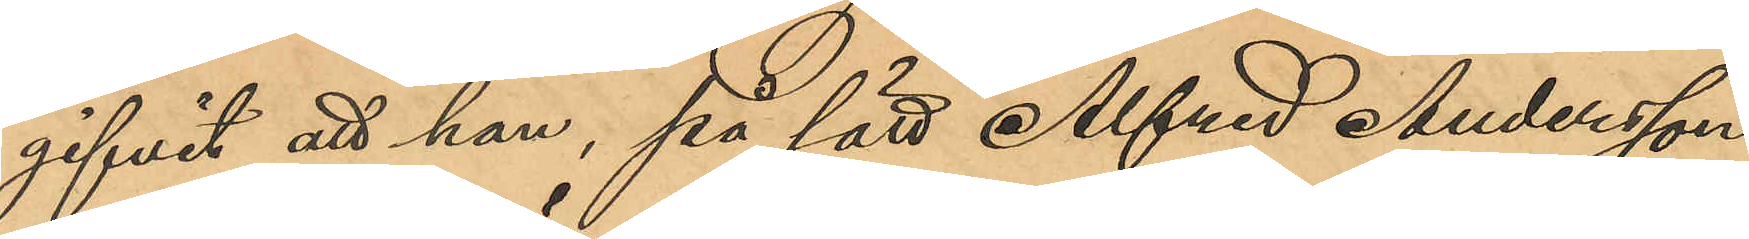gifvit att han, på sätt Alfred Andersson
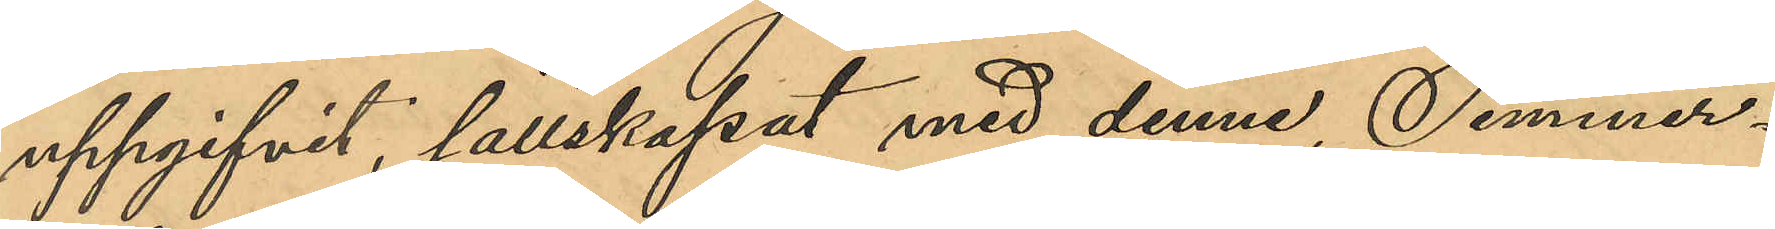uppgifvit, sällskapat med denne, Timmer¬
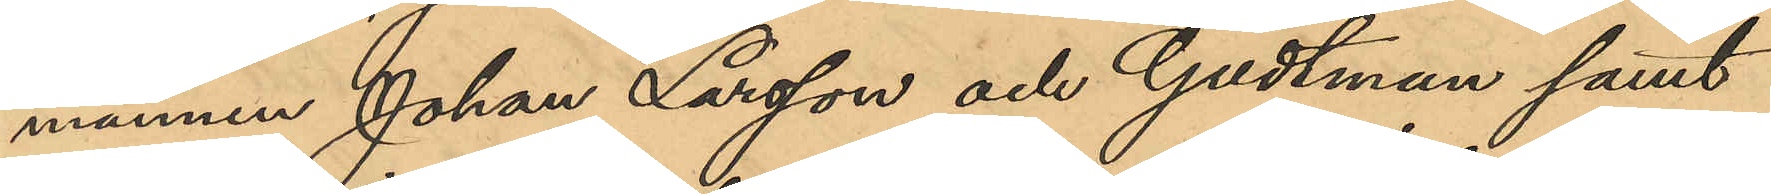männen Johan Larsson och Godtman samt
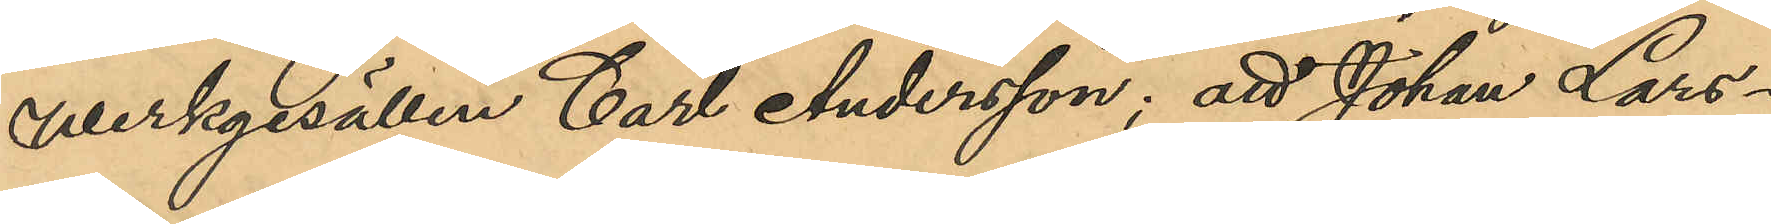verksgesällen Carl Andersson; att Johan Lars¬
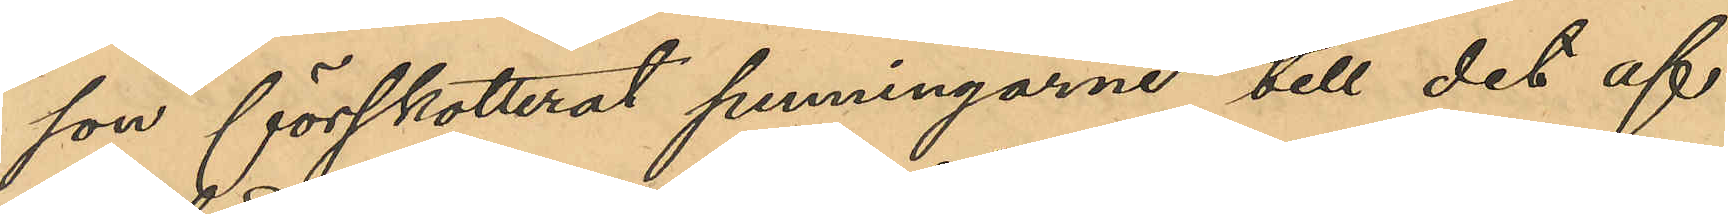son förskotterat penningarne till det af
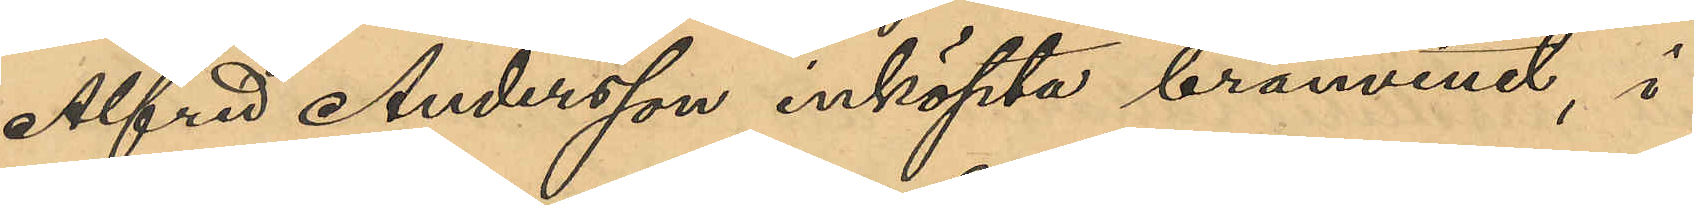Alfred Andersson inköpta brännvinet, i
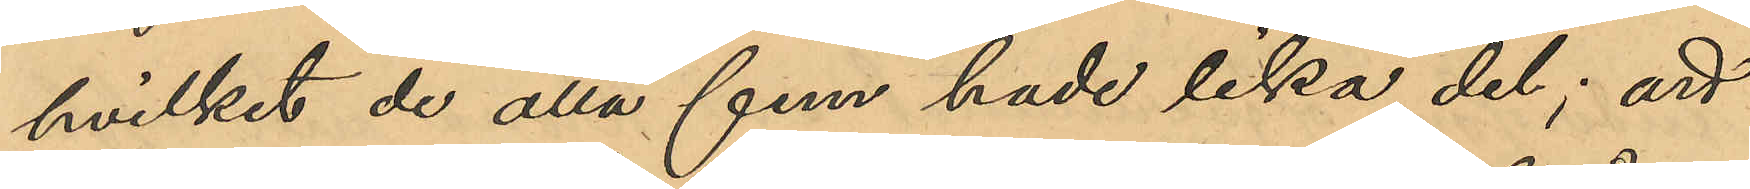hvilket de alla fem hade lika del; att
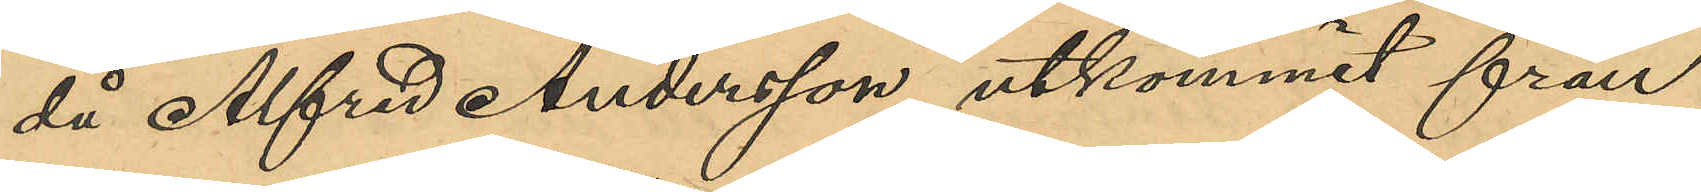då Alfred Andersson utkommit från
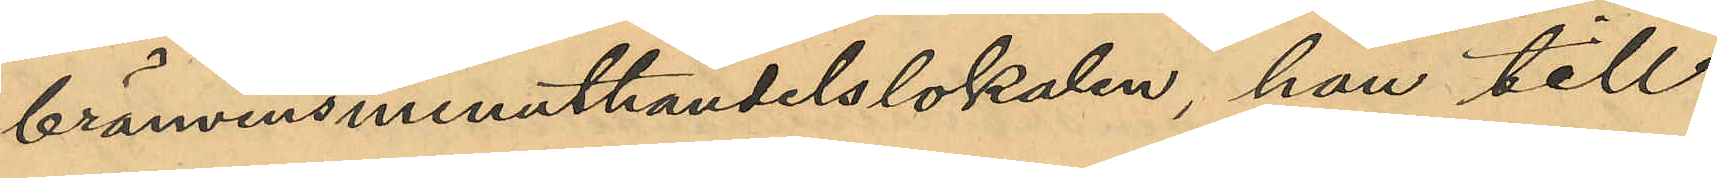brännvinsminuthandelslokalen han till
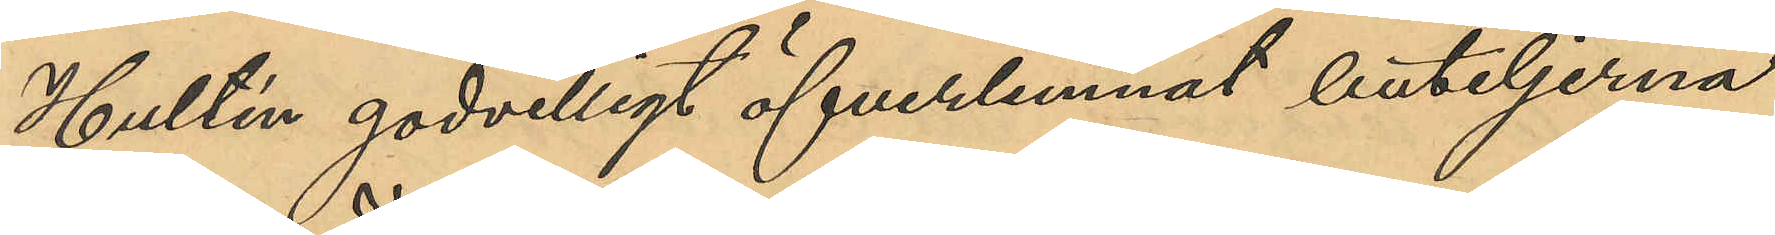Hultén godvilligt öfverlemnat buteljerna
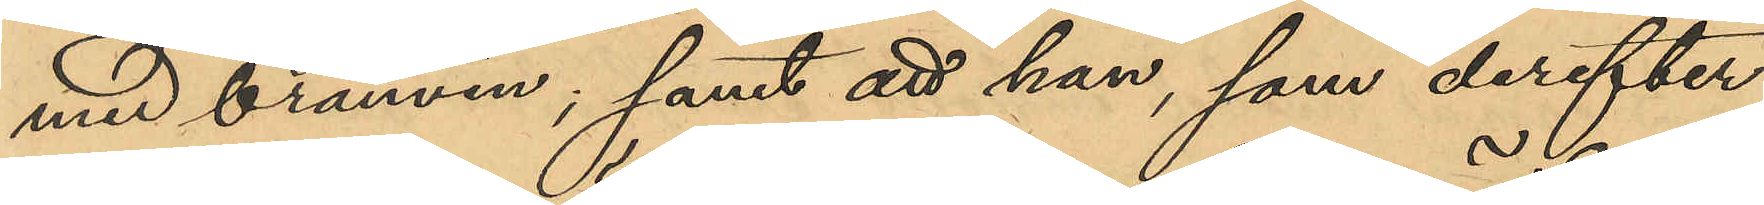med brännvin, samt att han, som derefter
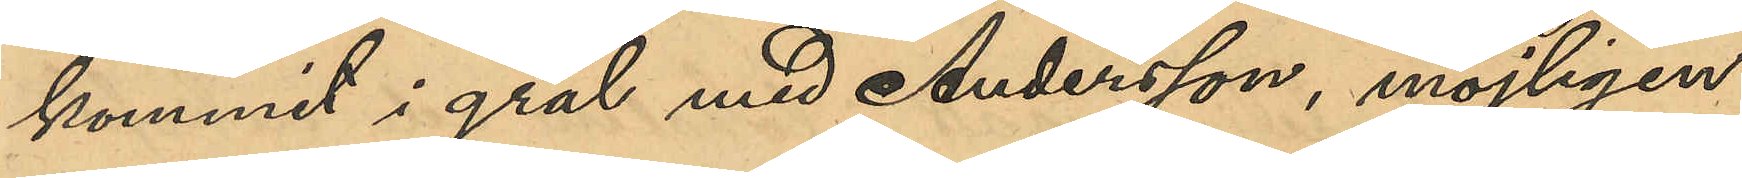kommit i gräl med Andersson, möjligen
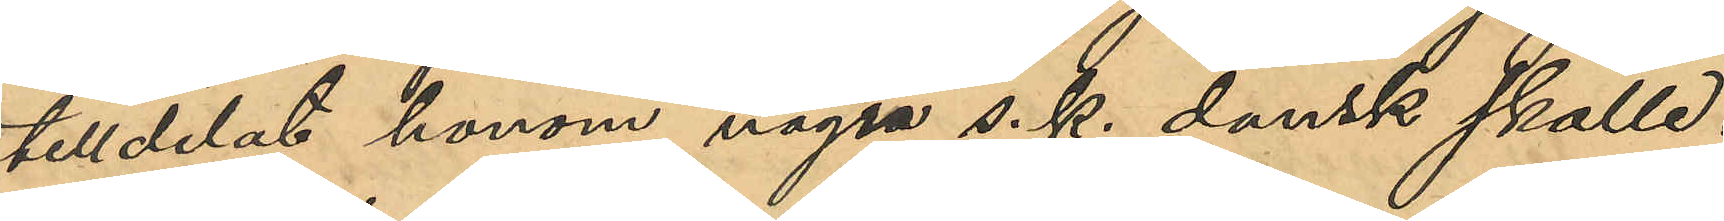tilldelat honom några s.k. dansk skalle.
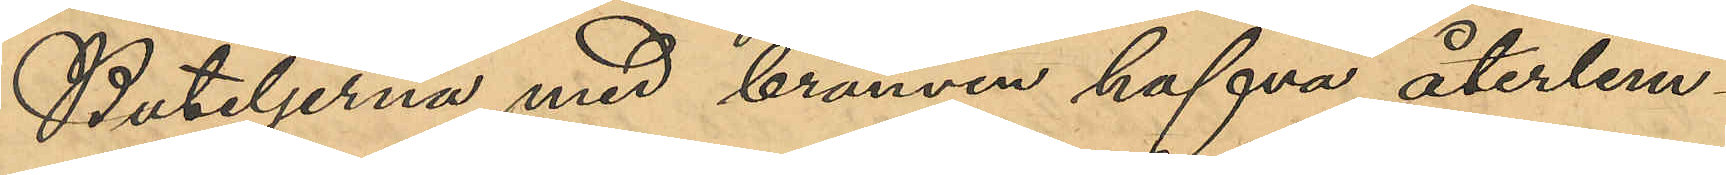Buteljerna med brännvin hafva återlem¬
